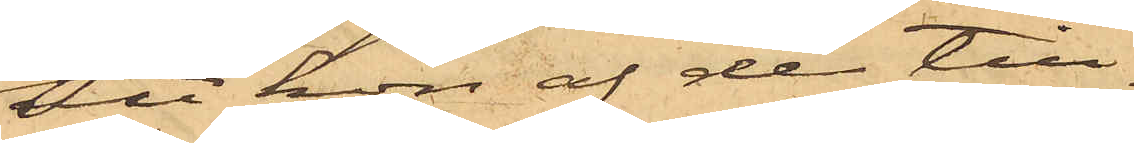att hon af de till¬
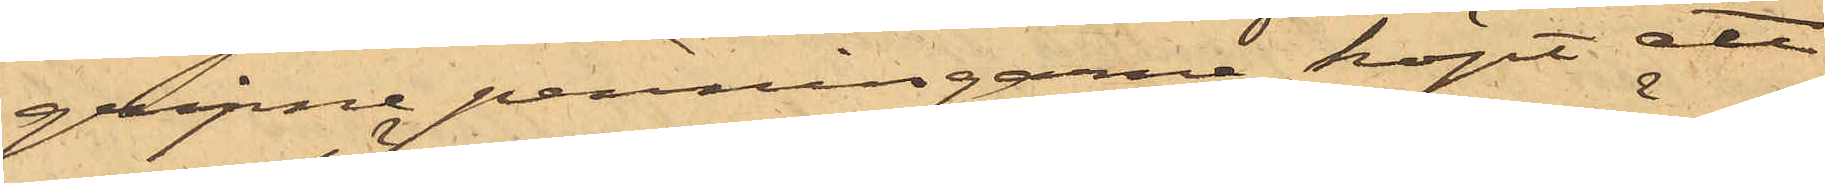gripne penningarne köpt att
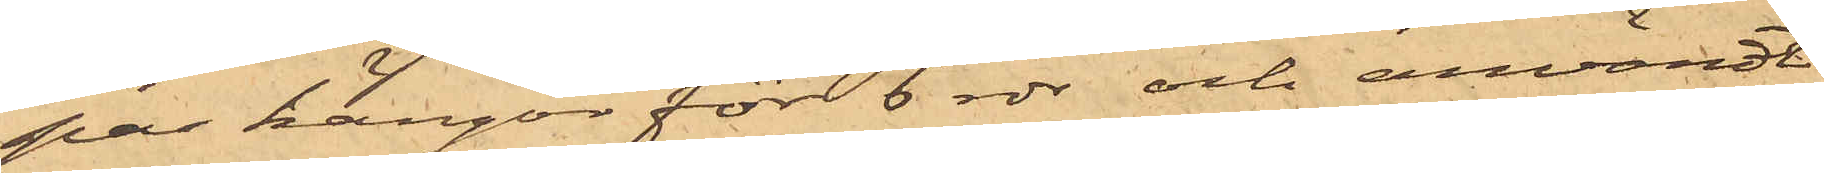par kängor för 6 rdr och användt
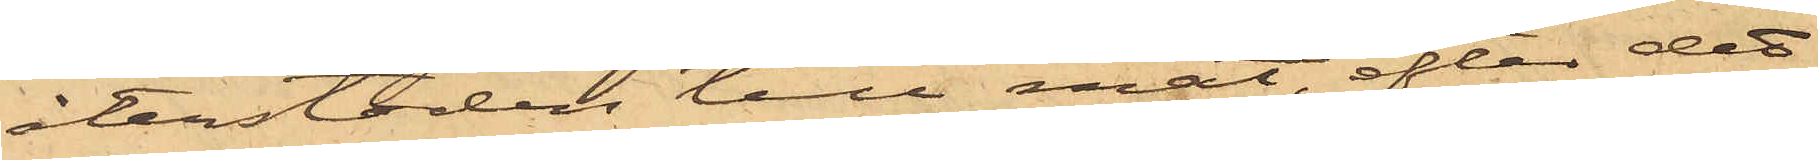återstoden till mat, efter det
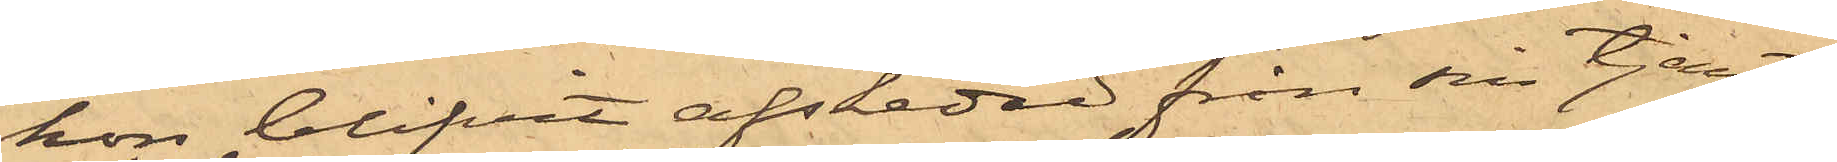hon blifvit afskedad från sin tjenst,
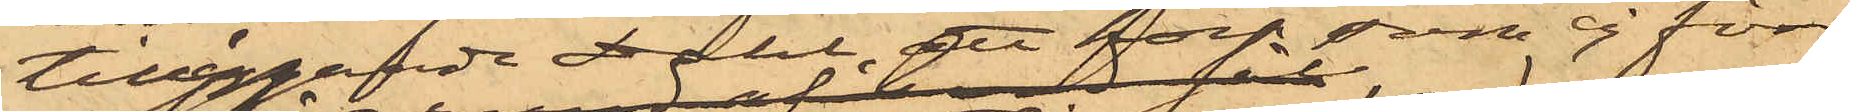tilläggande Dahl; att hon som ej förr
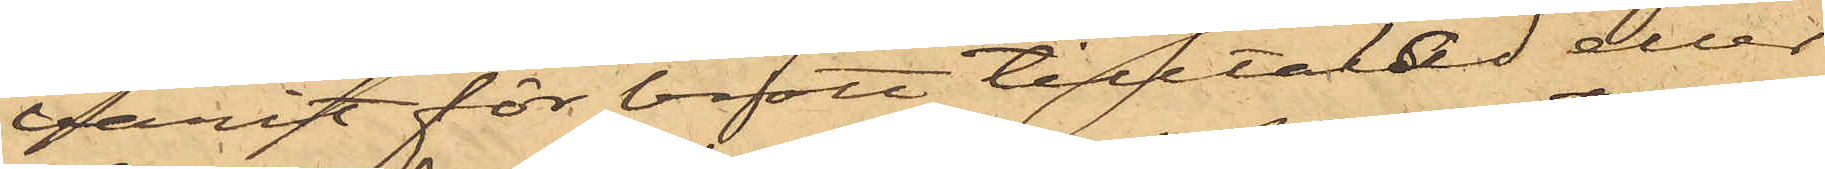varit för brott tilltalad eller
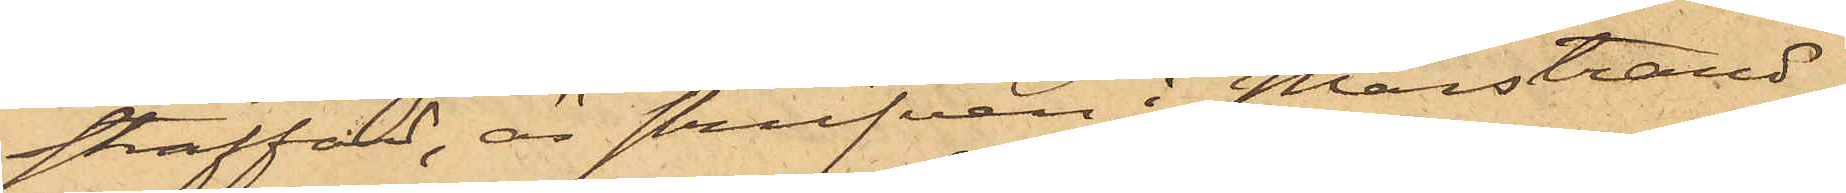straffad, är skrifven i Marstrand.
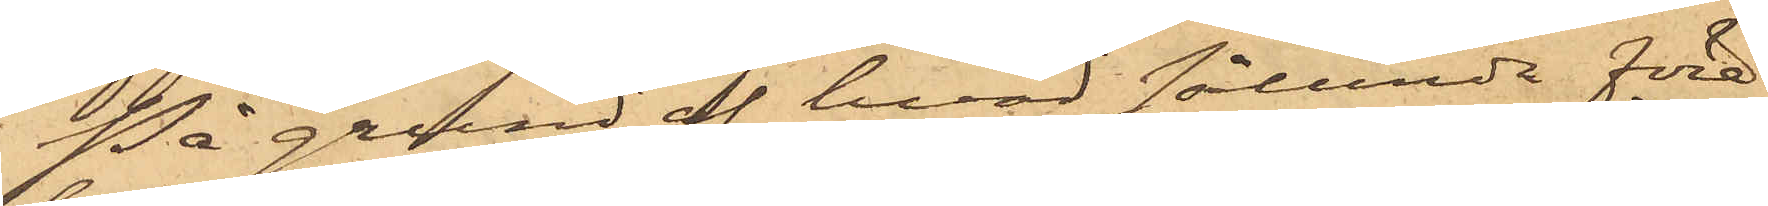På grund af hvad sålunda före¬
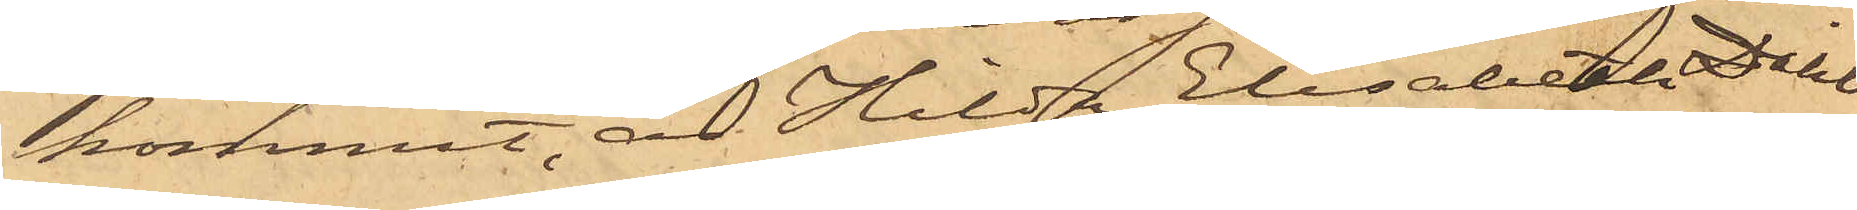kommit, är Hilda Elisabeth Dahl
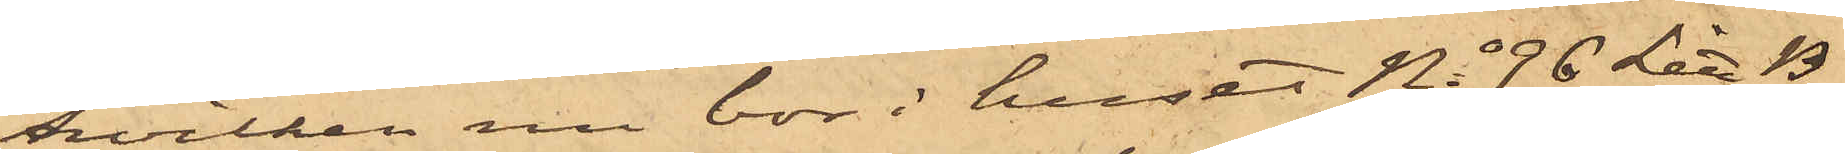hvilken nu bor i huset No 96 Litt B
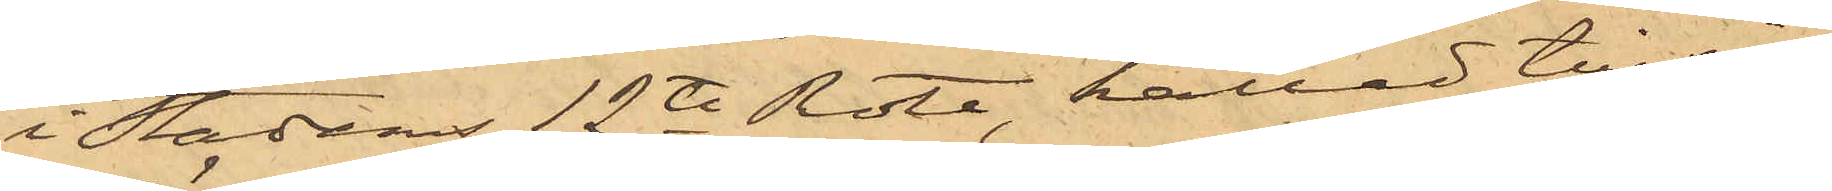i Stadens 12te Rote, kallad till in¬
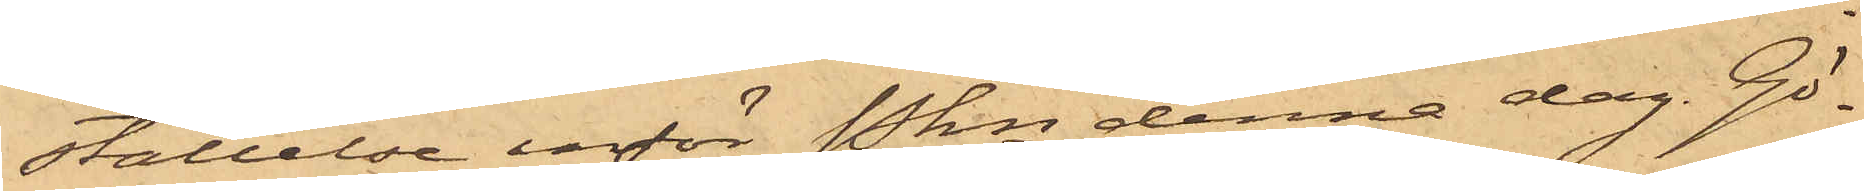ställelse inför Pkn denna dag. Gö¬
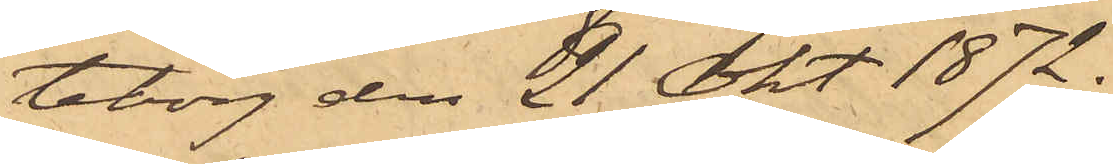teborg den 21 Okt. 1872.
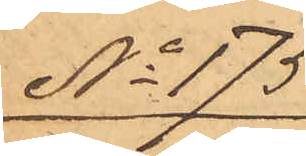No 175
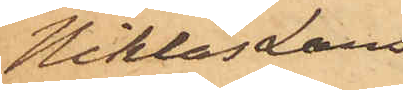Niklas Lars¬
